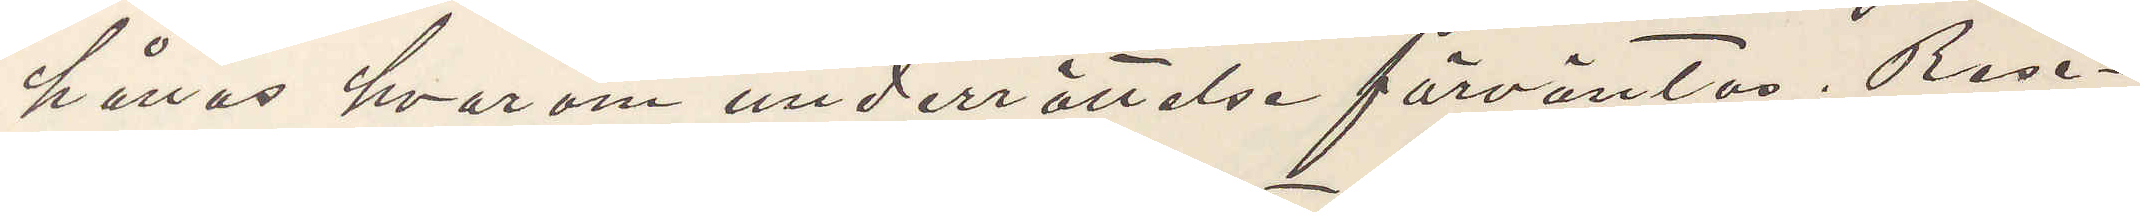hållas hvarom underrättelse förväntas. Rese¬
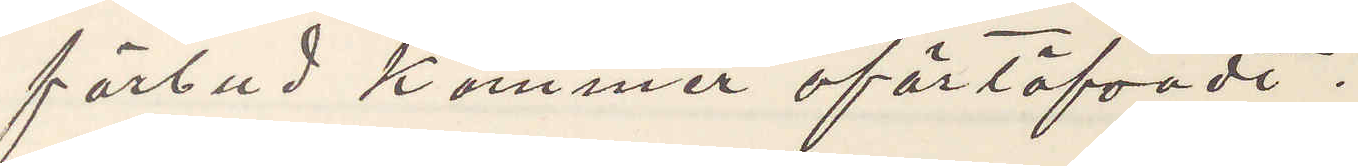förbud kommer oförtöfvadt.
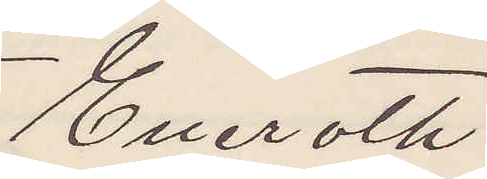Eneroth
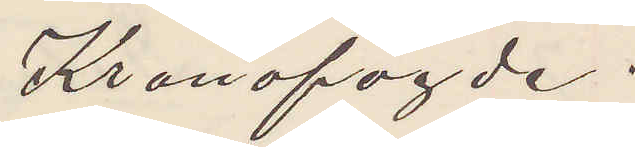Kronofogde.
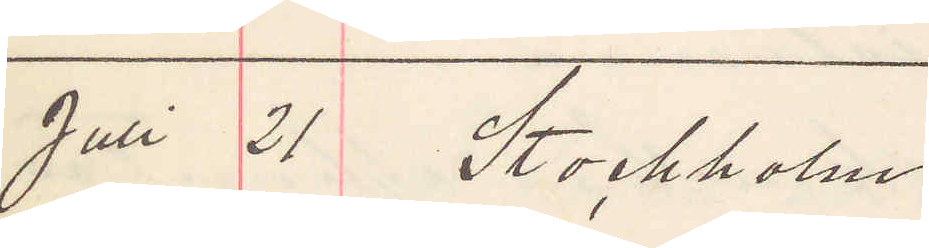Juni 21 Stockholm
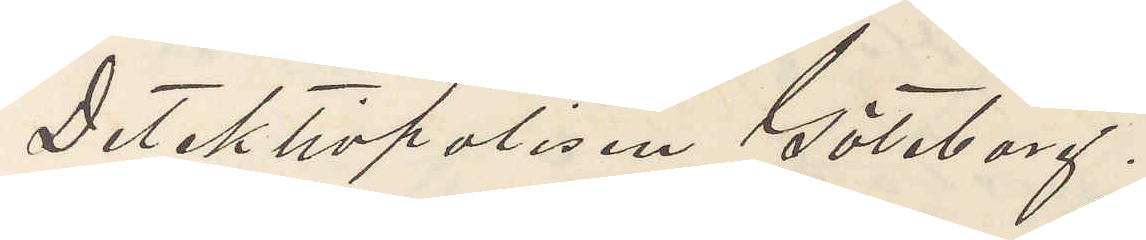Detektivpolisen Göteborg.
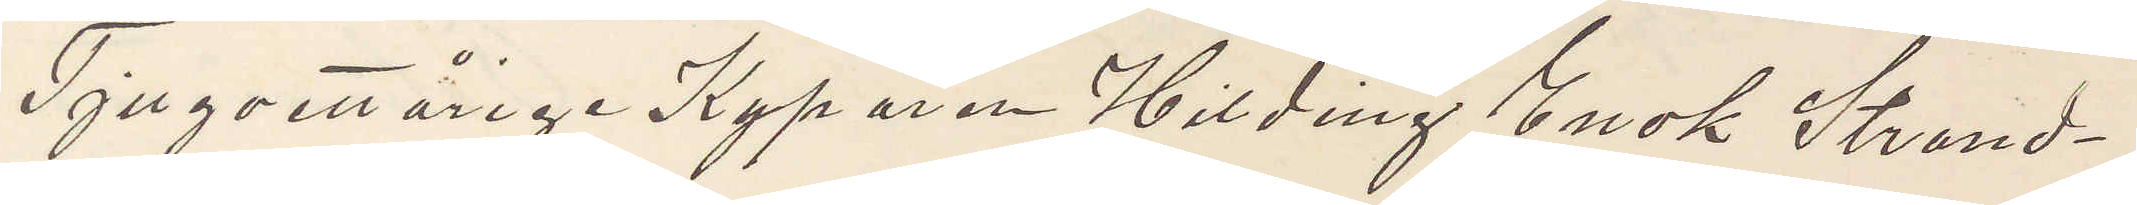Tjugoettårige Kyparen Hilding Enok Strand¬
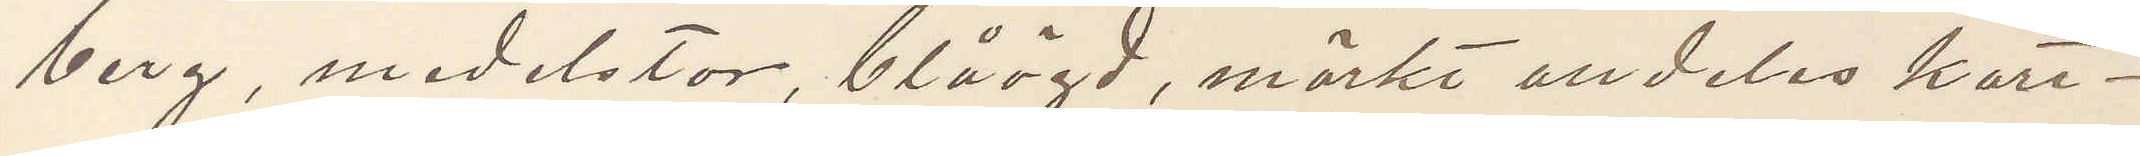berg, medelstor, blåögd, mörkt alldeles kort¬
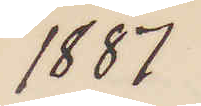1887
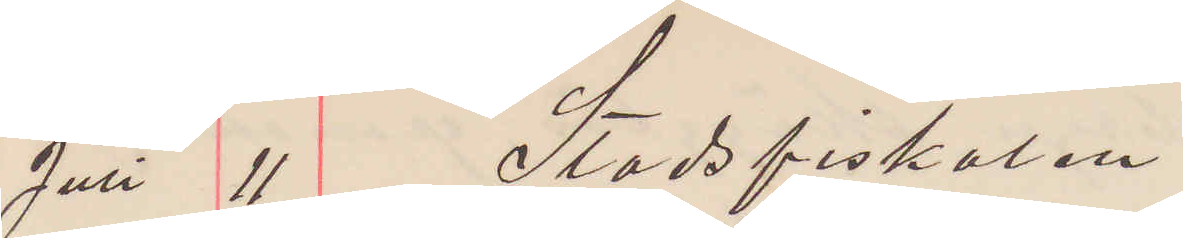Juli 11 Stadsfiskalen
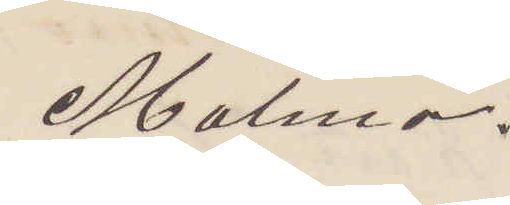Malmö.
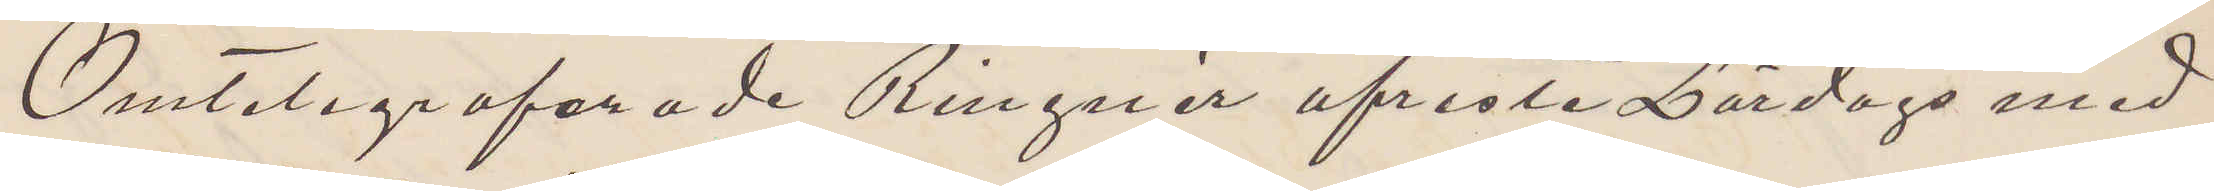Omtelegraferade Ringnér afreste Lördags med
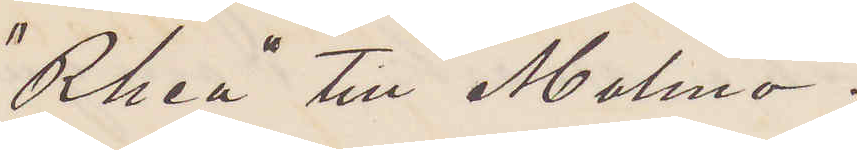"Rhea" till Malmö.
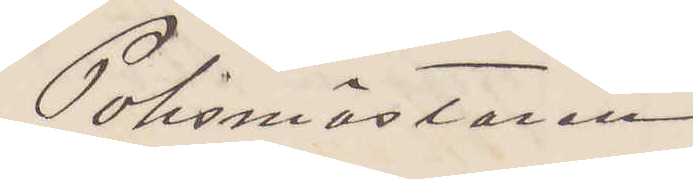Polismästaren
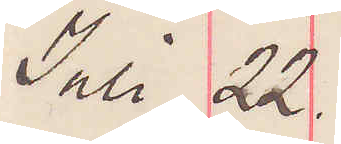Juli 22.
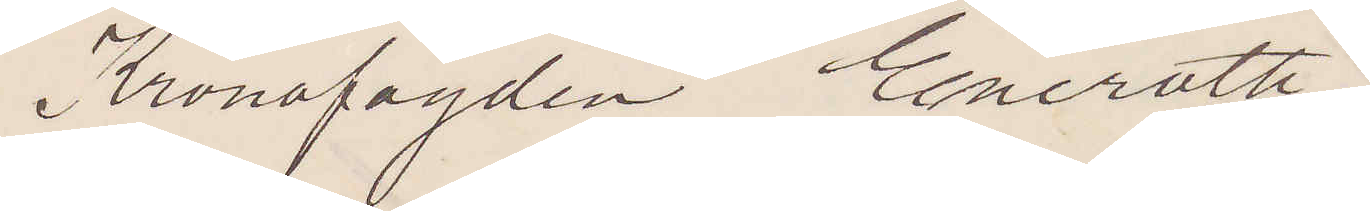Kronofogden Eneroth.
